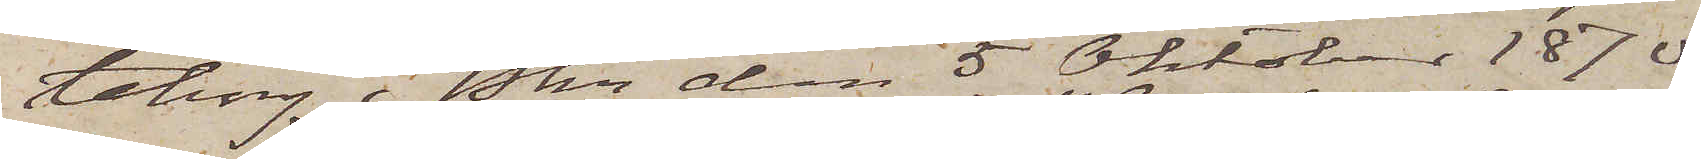teborg i Pkn den 5 Oktober 1870
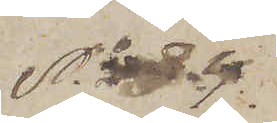No 34.
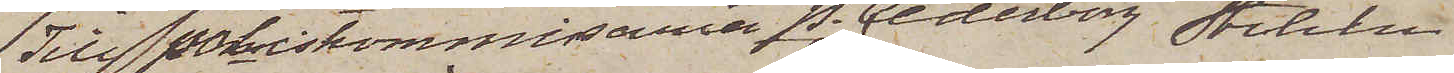Till Poliskommisarien P. Cederborg Stockholm
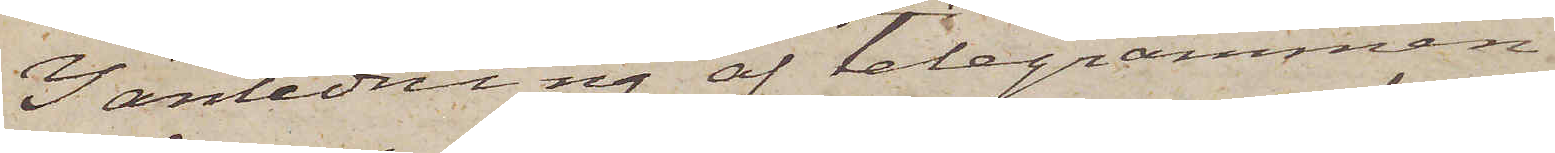I anledning af telegrammen
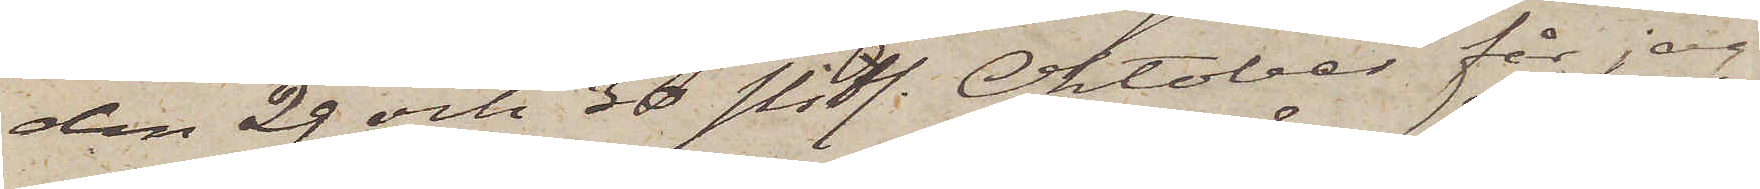den 29 och 30 sistl. Oktober får jag
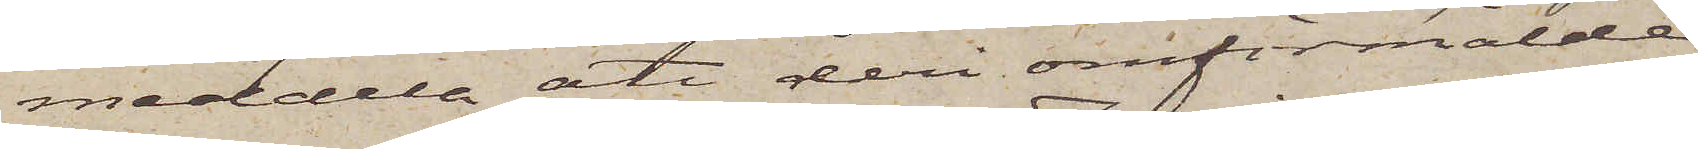meddela att deri omförmälde
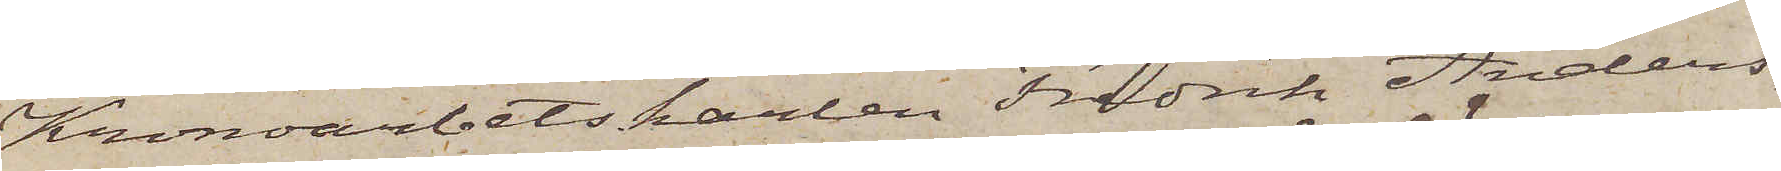Kronoarbetskarlen Fredrik Anders¬
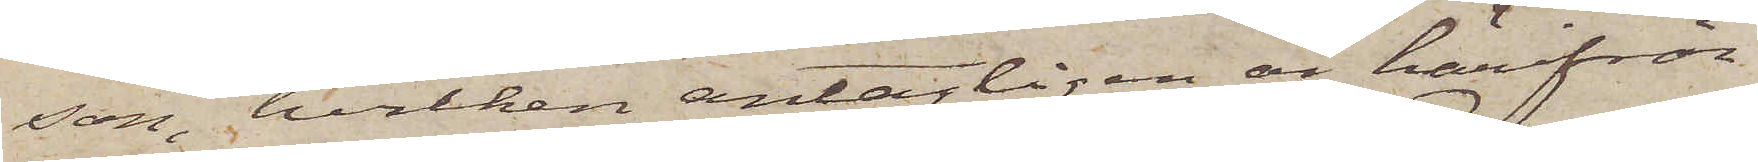son, hvilken antagligen är härifrån
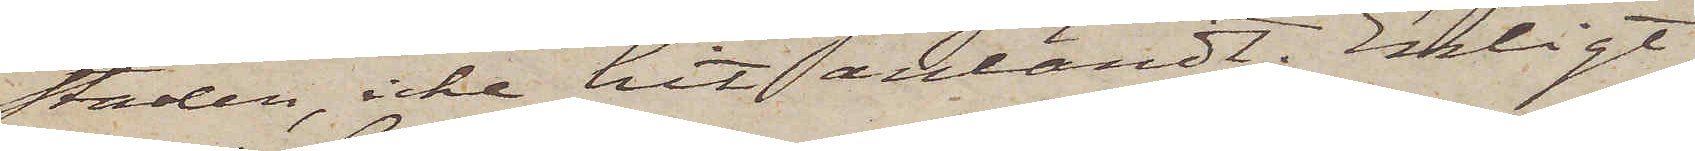staden, icke hit anländt. Enligt
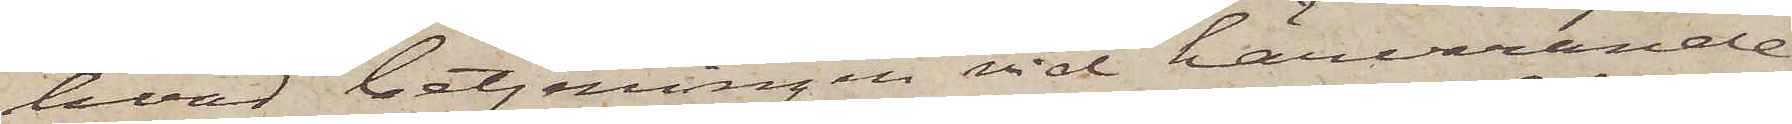hvad betjeningen vid härvarande
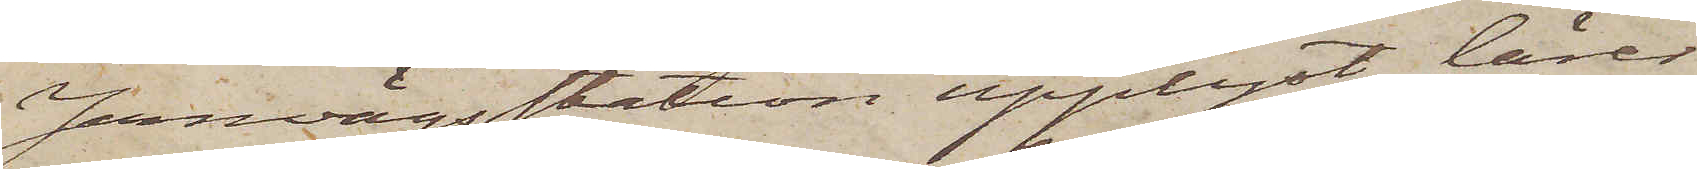Jernvägsstation upplyst, lärer
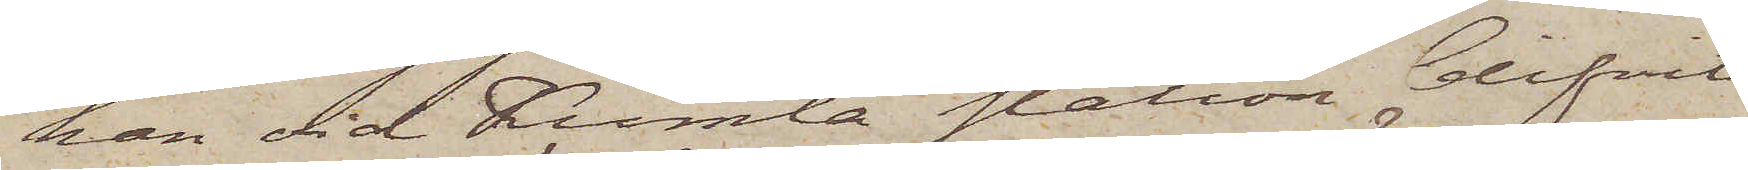han vid Kumla station blifvit
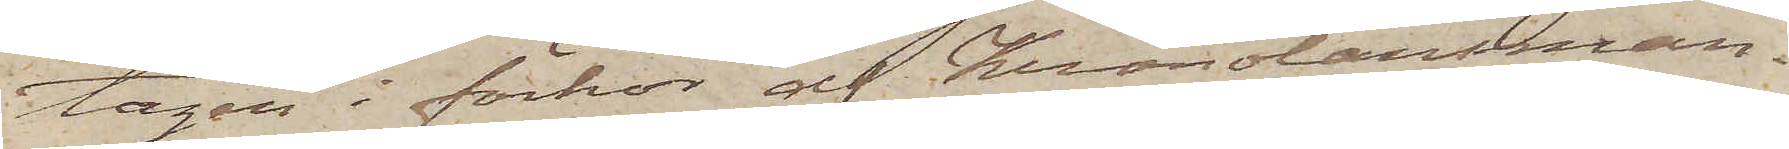tagen i förhör af Kronolänsman¬
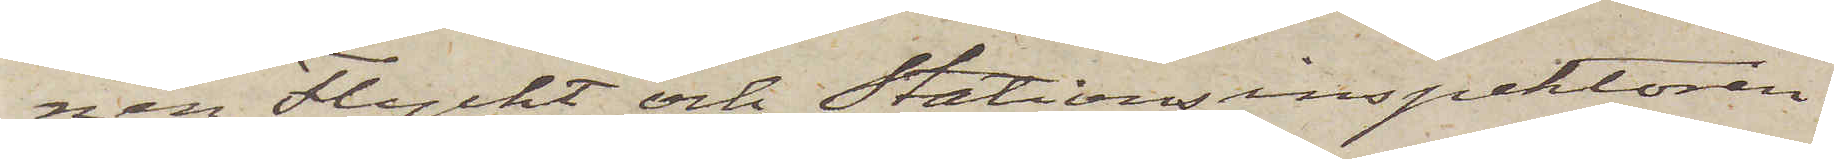nen Flycht och Stationsinspektören,
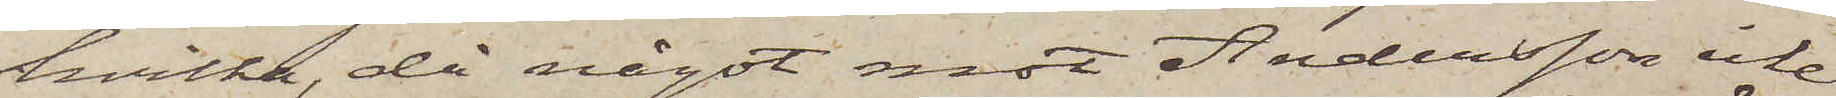hvilka, då något mot Andersson icke
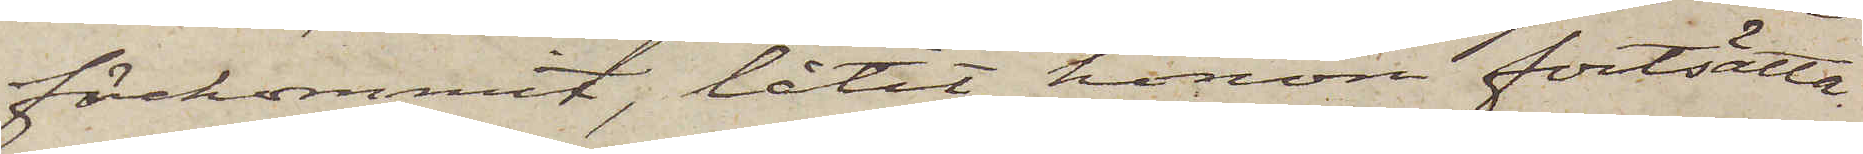förekommit, låtit honom fortsätta
